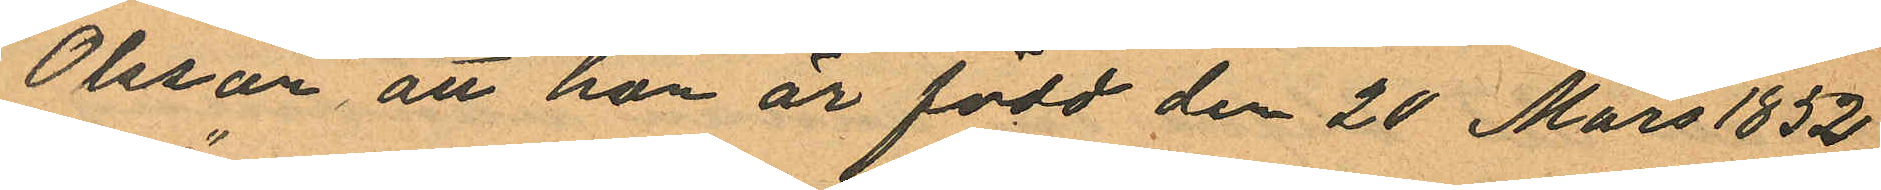Olsson, att hon är född den 20 Mars 1852
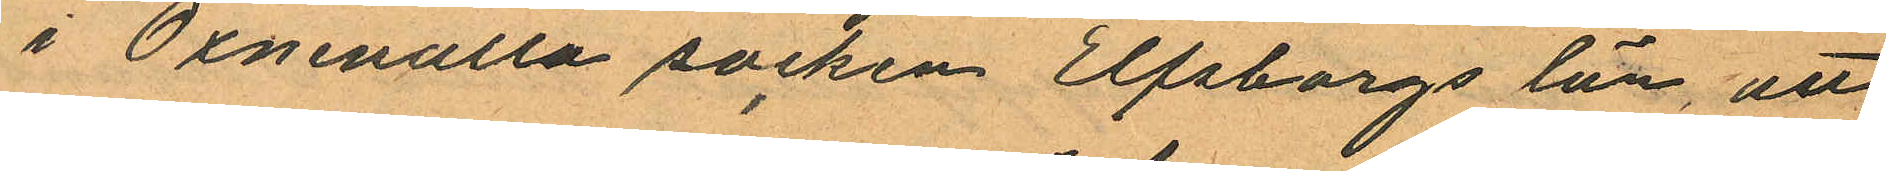i Öxnevalla socken Elfsborgs län, att
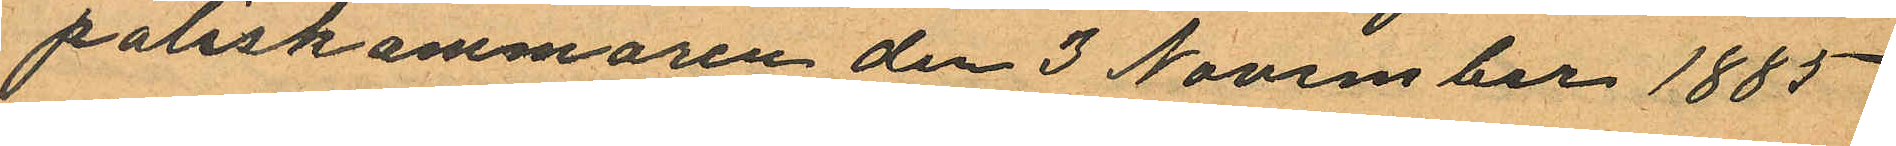poliskammaren den 3 November 1885
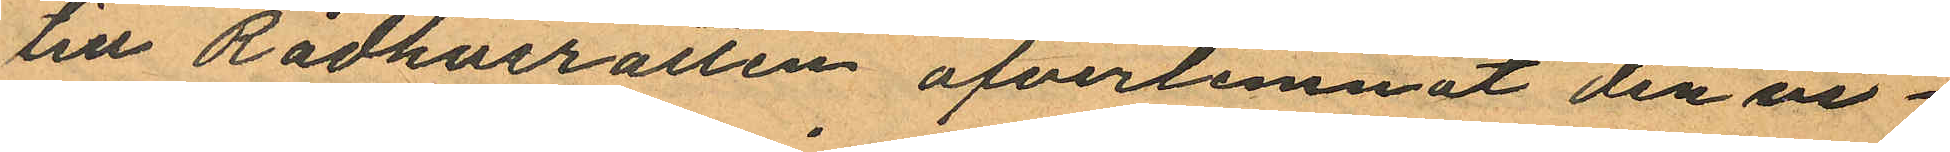till Rådhusrätten ofverlemnat den vi¬
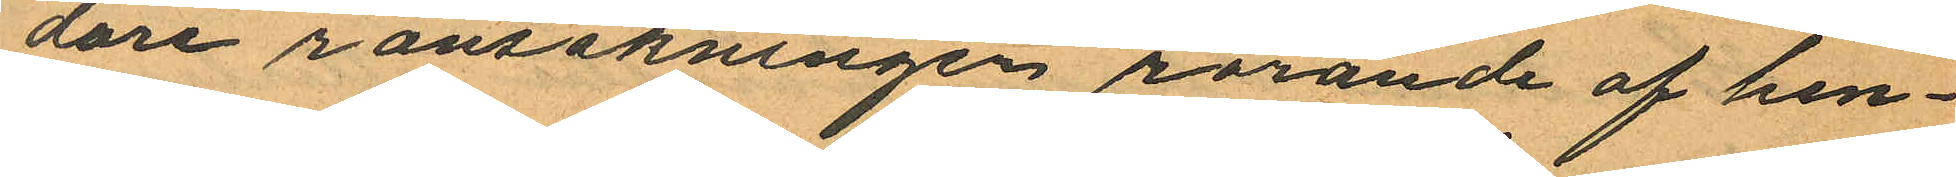dare ransakningen rorande af hen¬
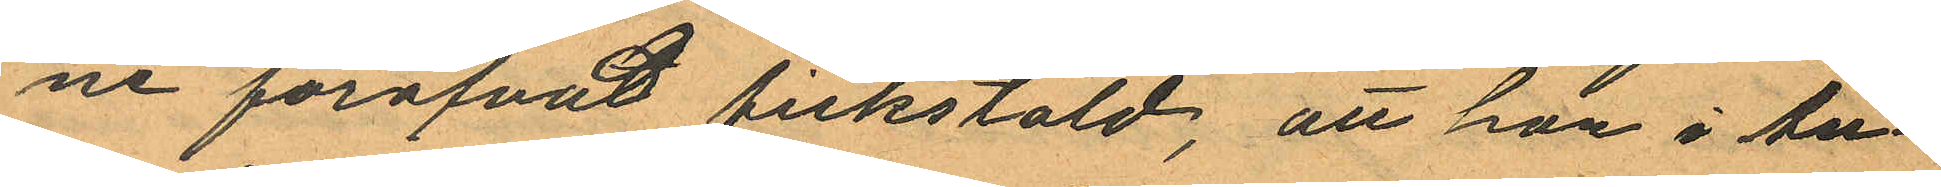ne föröfvat fickstöld, att hon i Au¬
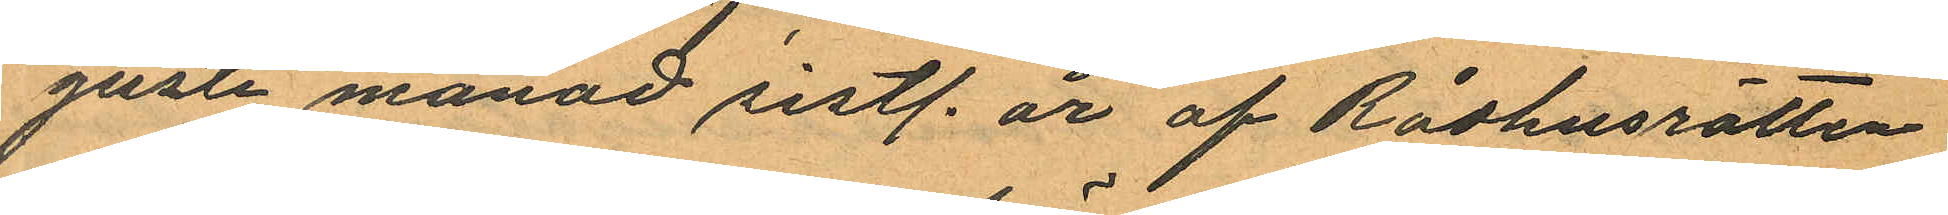gusti månad sistl. år af Rådhusrätten
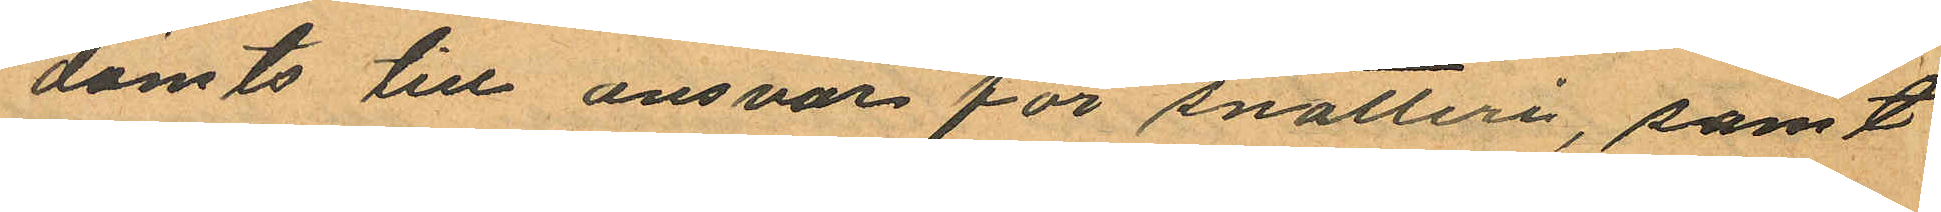dömts till ansvar för snatteri, samt
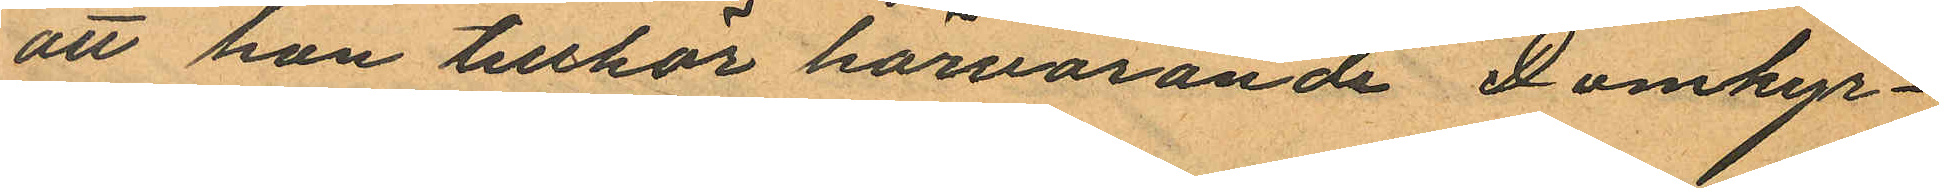att han tillhör härvarande Domkyr¬
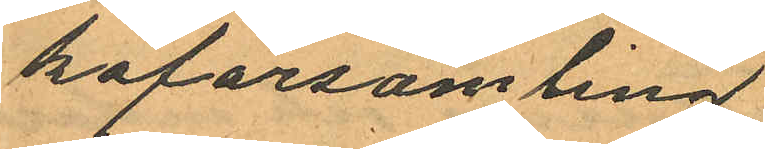koförsamling.
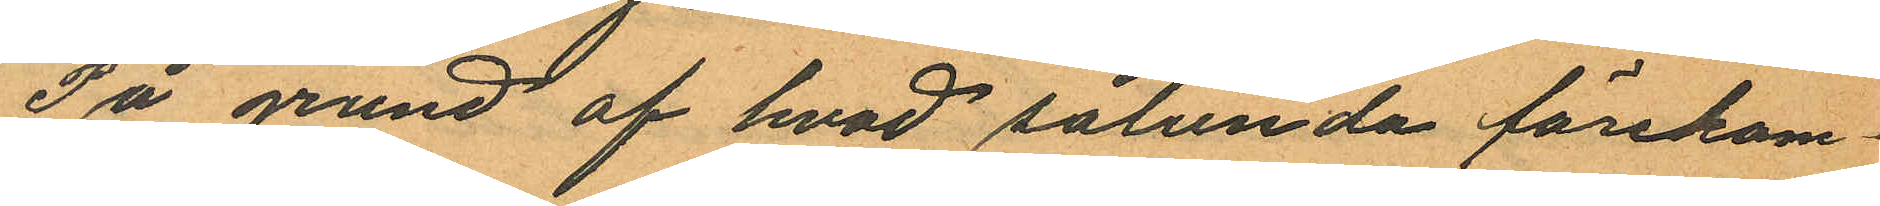På grund af hvad sålunda förekom¬
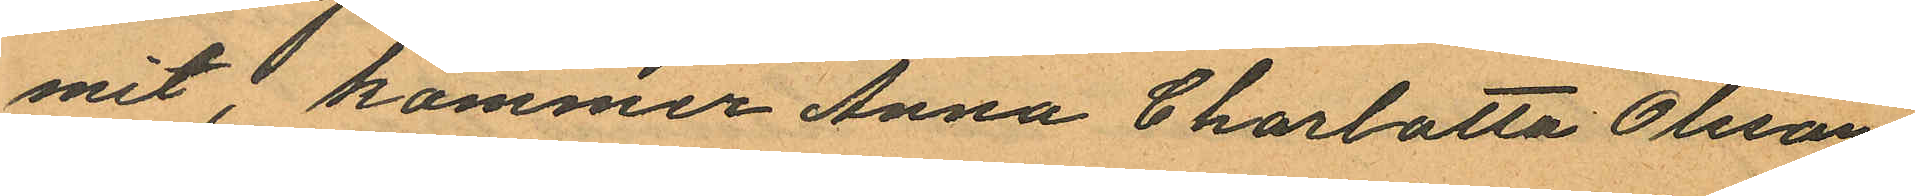mit, kommer Anna Charlotta Olsson
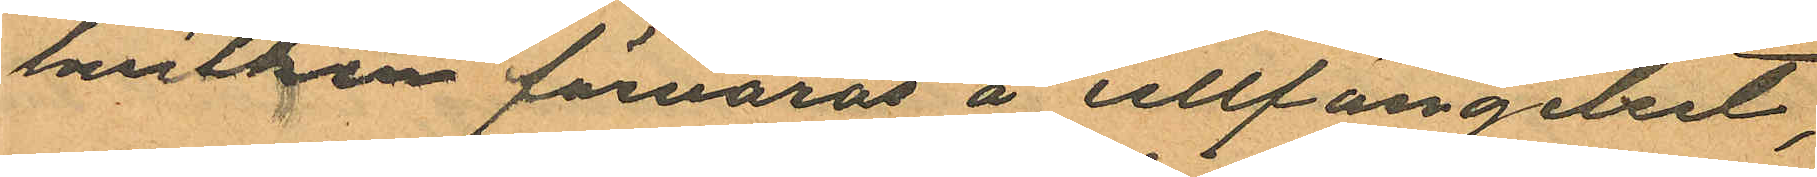hvilken förvaras å cellfängelset,
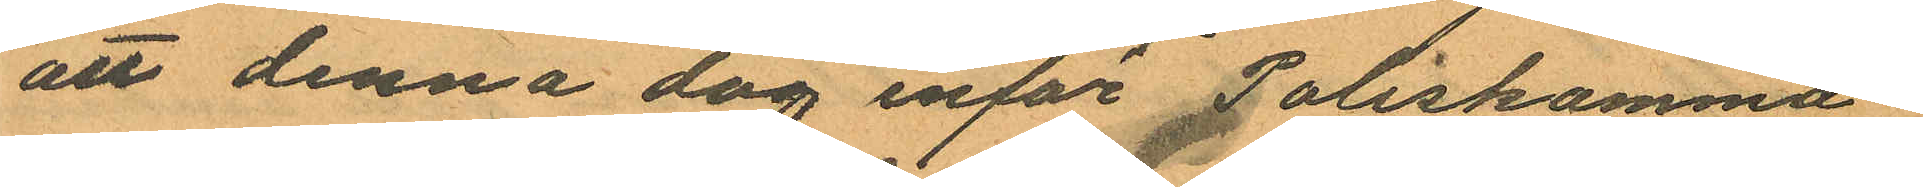att denna dag inför Poliskamma¬
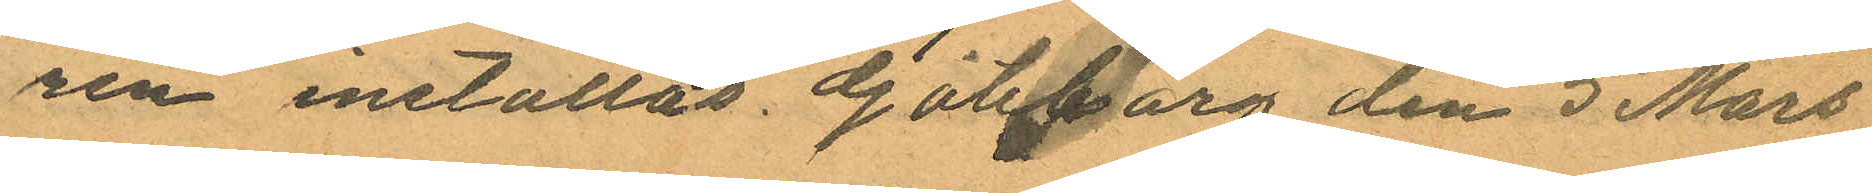ren inställas. Göteborg den 5 Mars
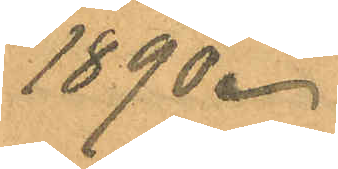1890.
